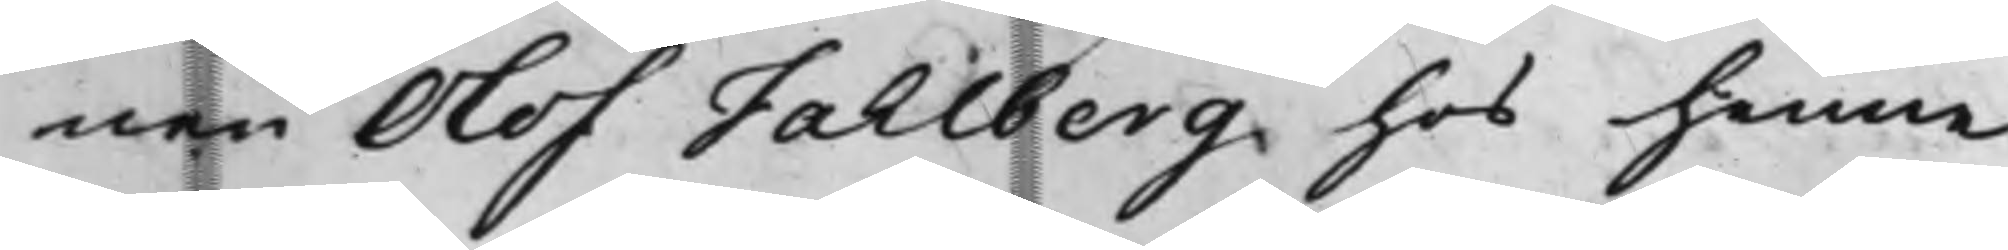nen Olof Fahlberg hos henne
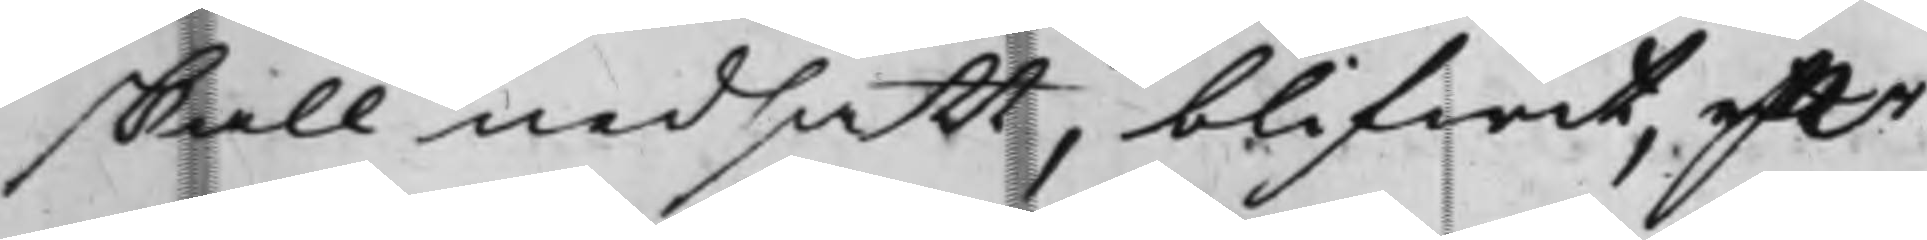skall nedsatt, blifwit, effter
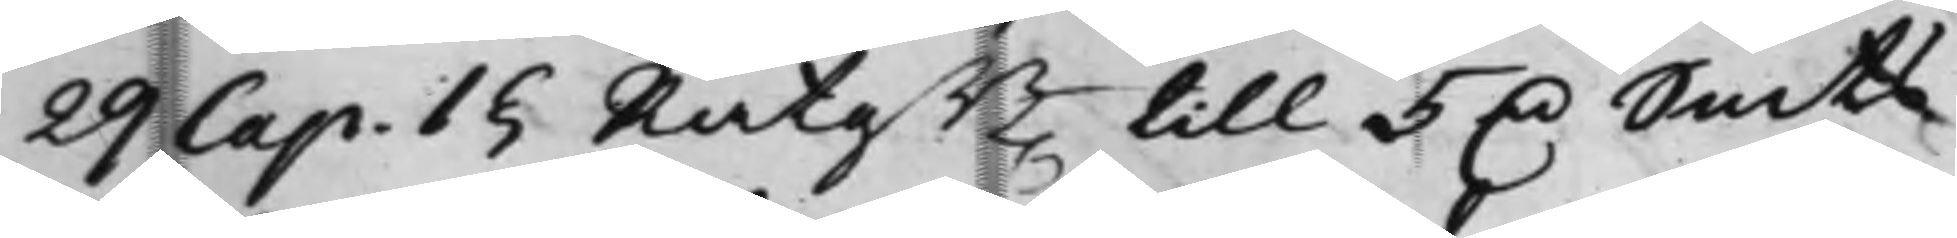29 Cap: 1§ RätgB till 5 D. Smts
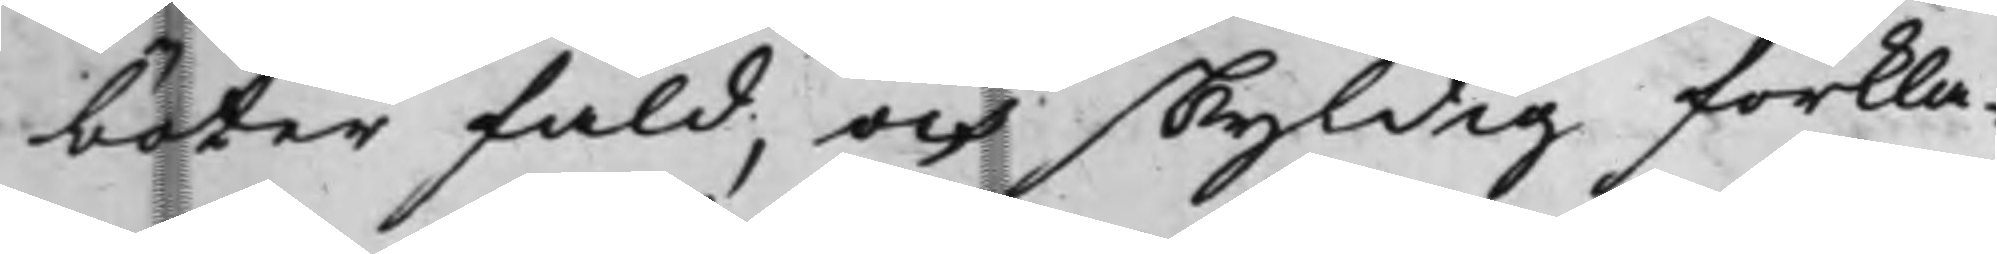böter fäld, och skyldig förkla¬
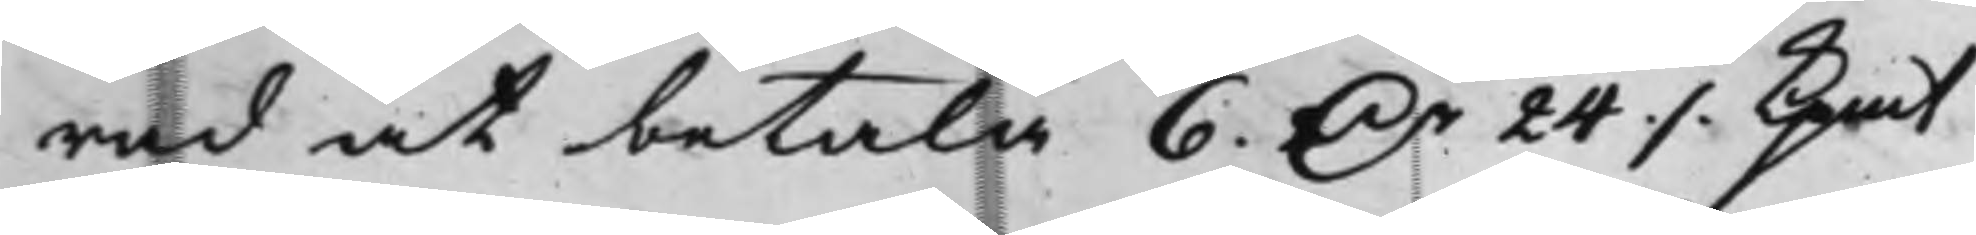rad at betala 6 D.r 24 ./. Kpmt
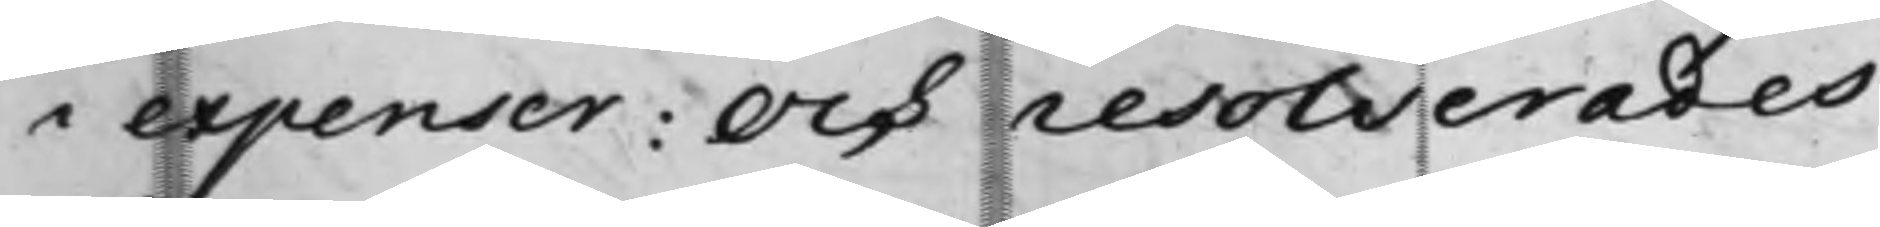i expenser: Och resolverades
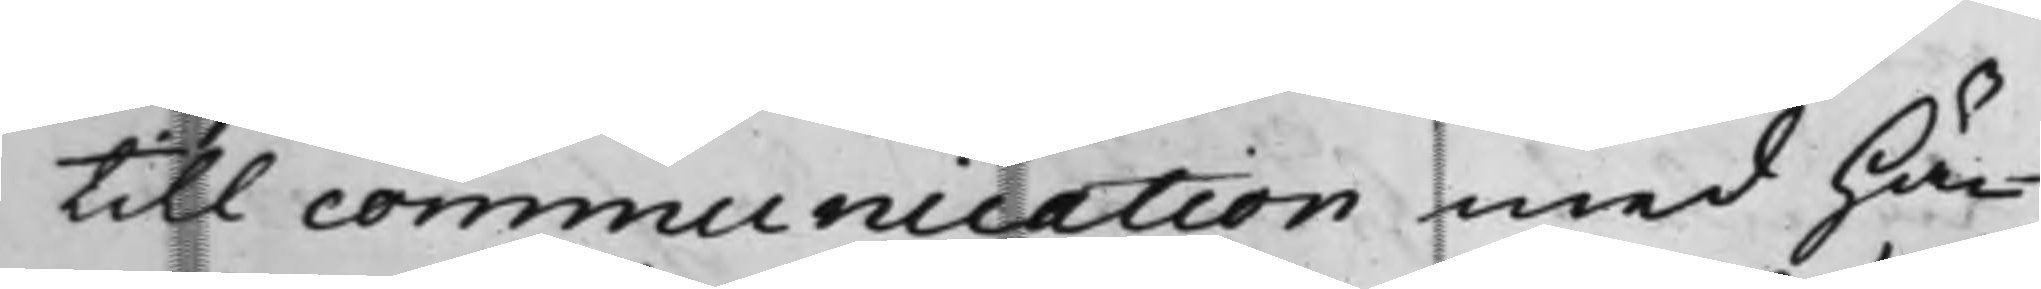till communication med Hä¬
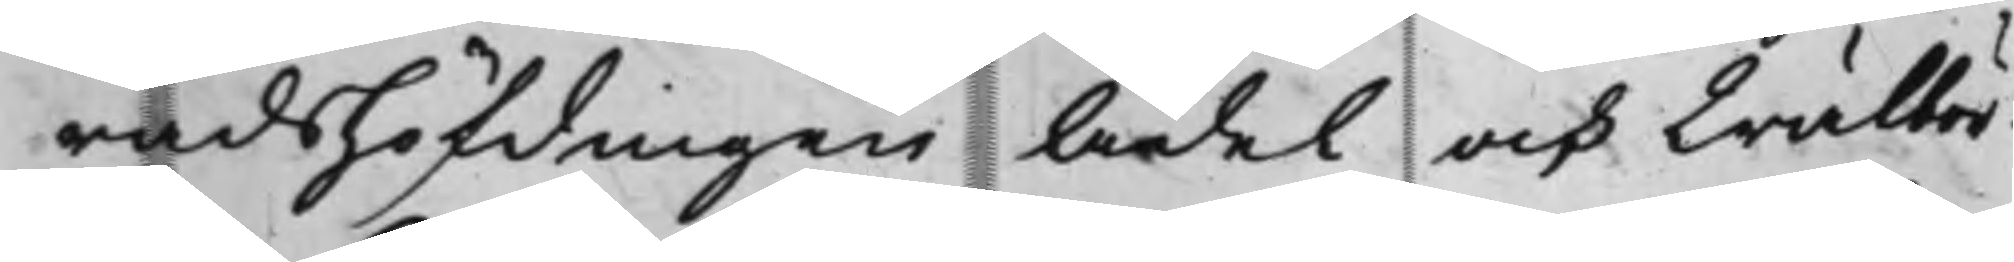radsHöfdingen Ädel och Wälbor¬
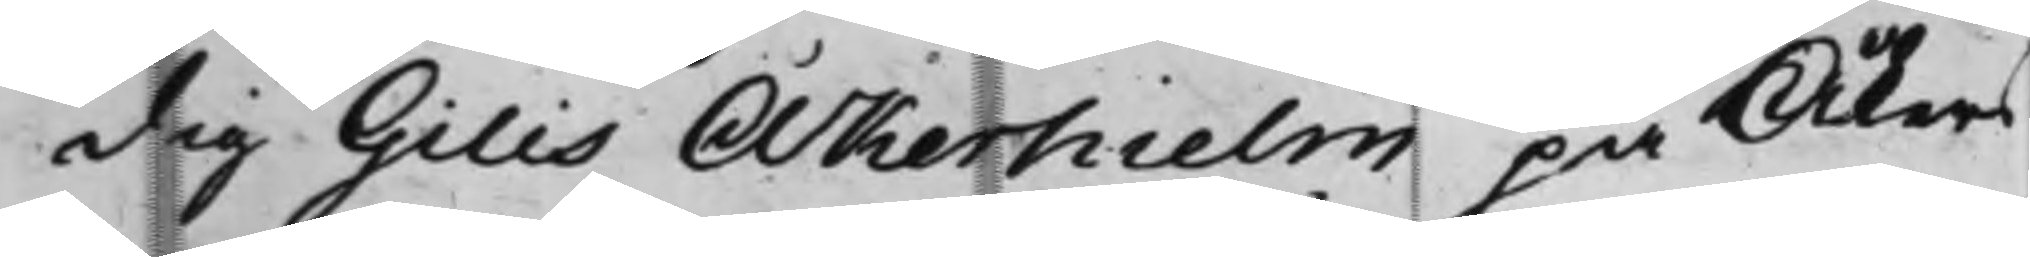dig Gilis Åkerhielm på Åkers
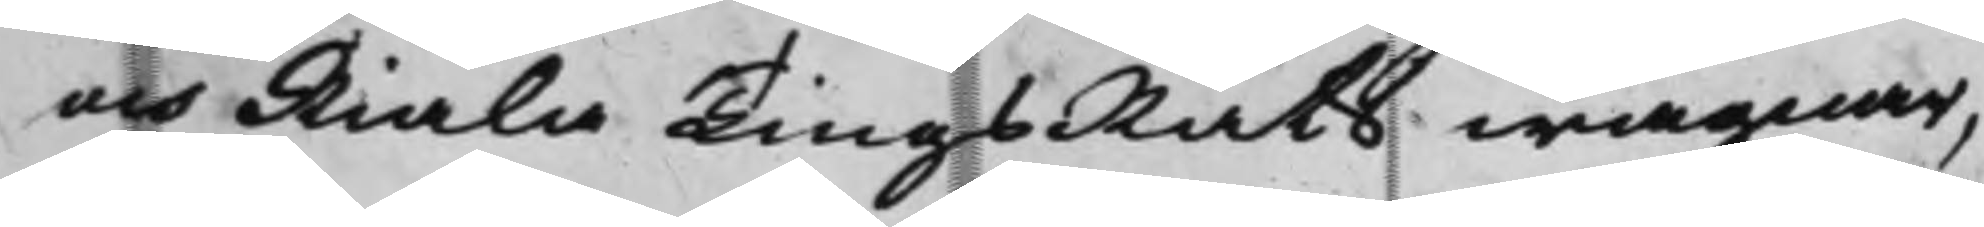och Riala TingsRäts wägnar,
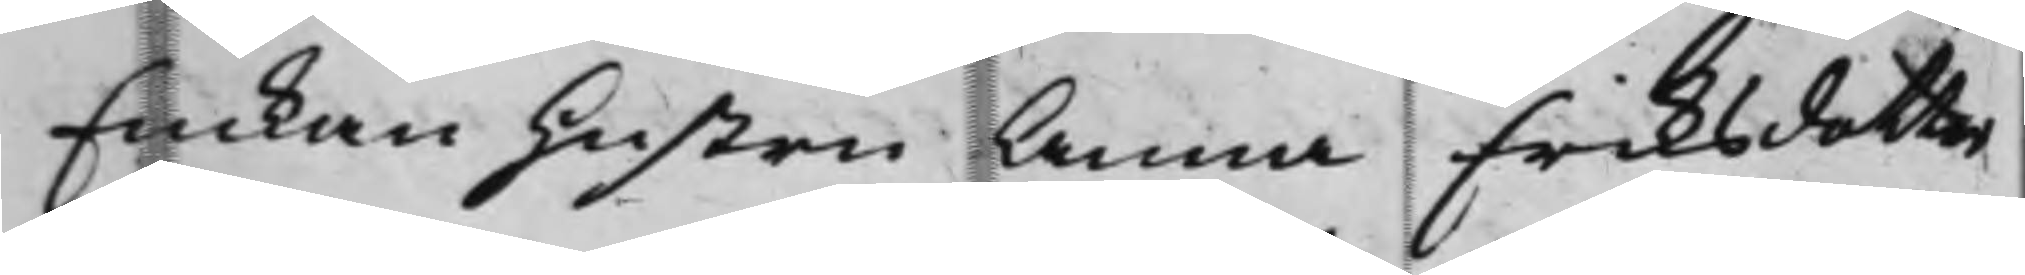Enkan hustru Anna Eriksdotter
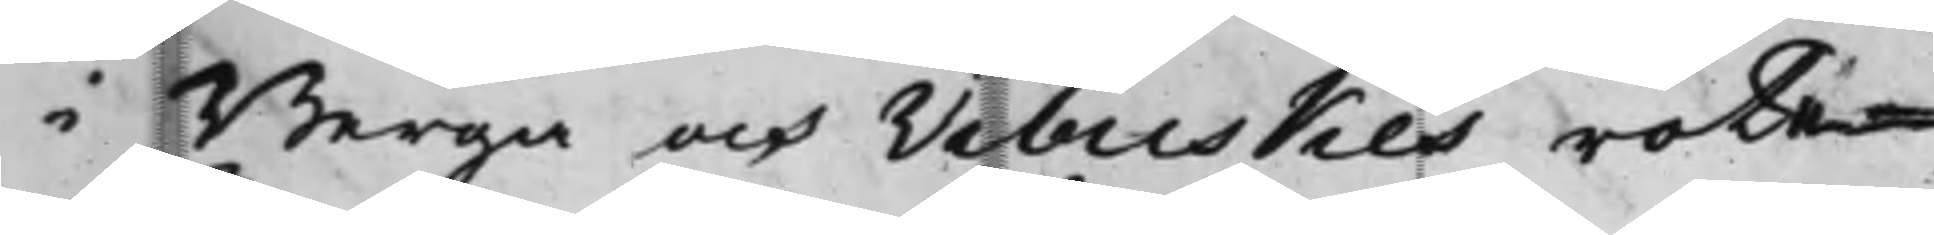i Berga och Vibuskes rote¬
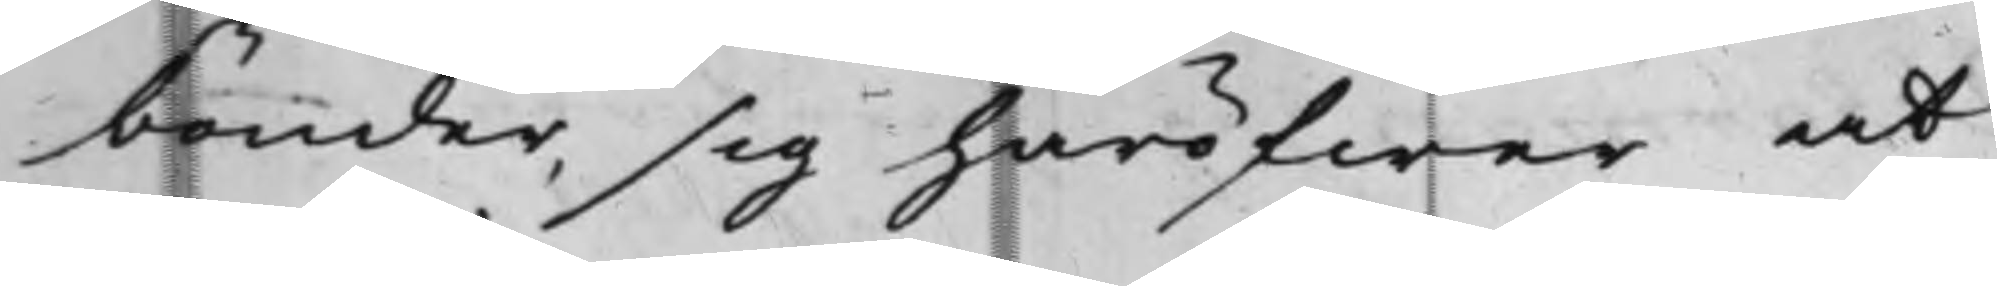bönder, sig häröfwer at
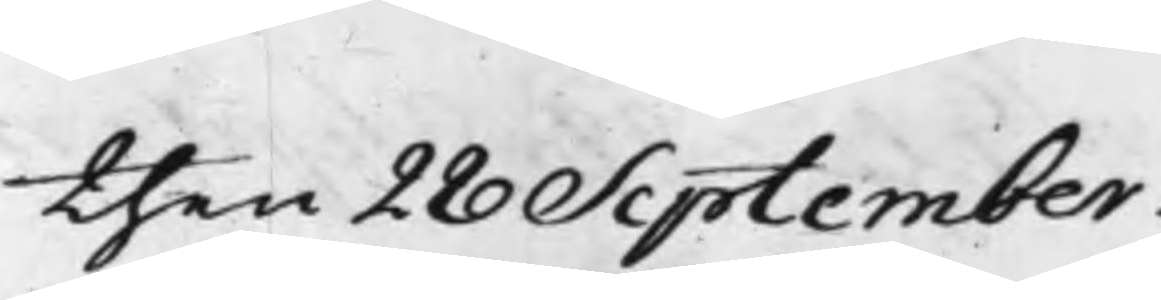then 28 September.
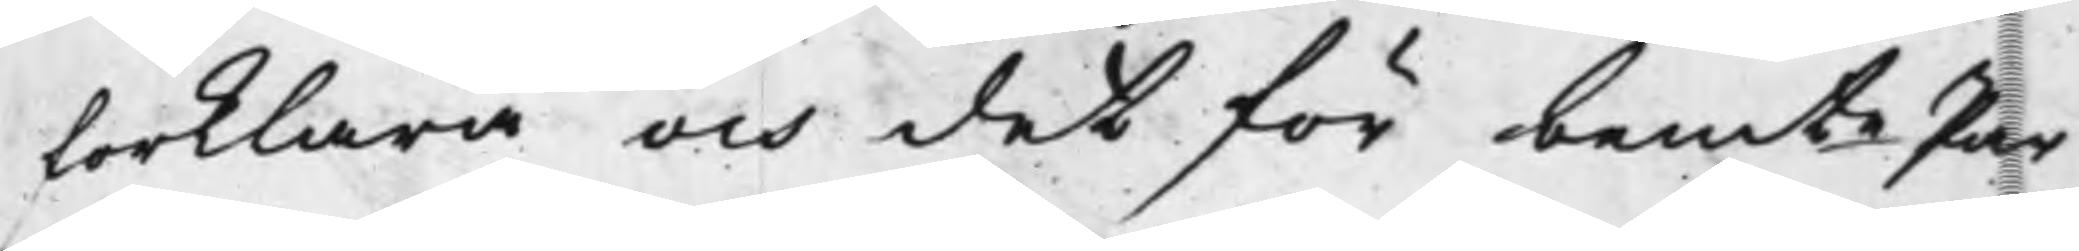förklara och det för bemte Par¬
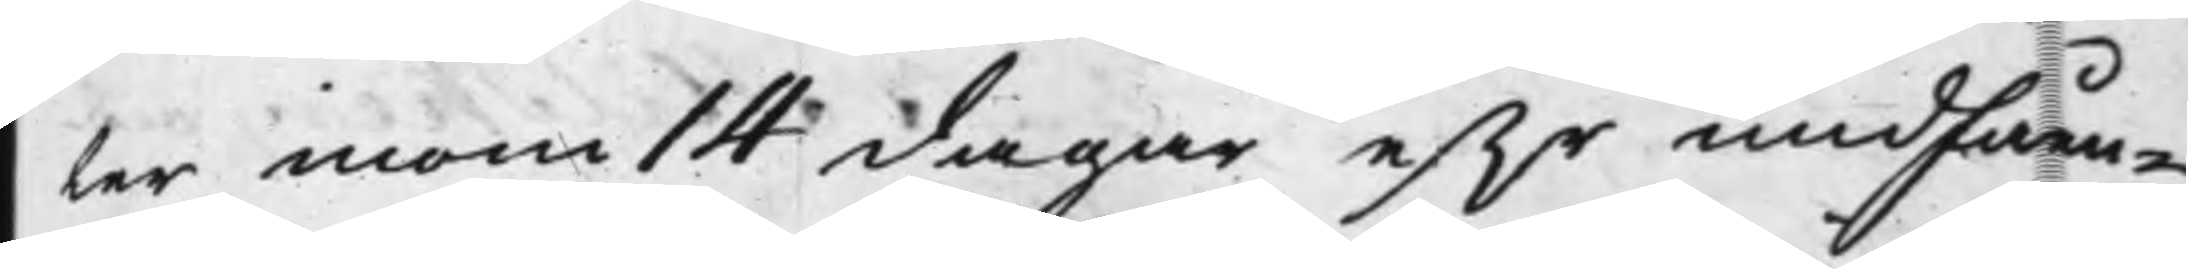ter inom 14 dagar ef.r undfåen¬
